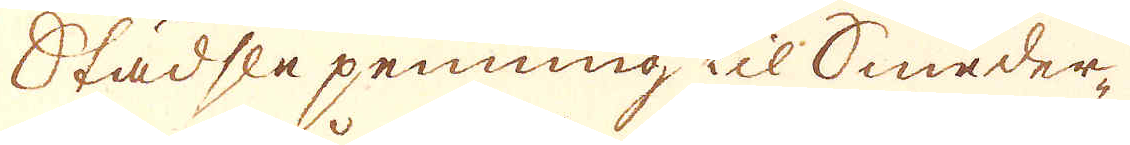Städsle penning til Smeder-
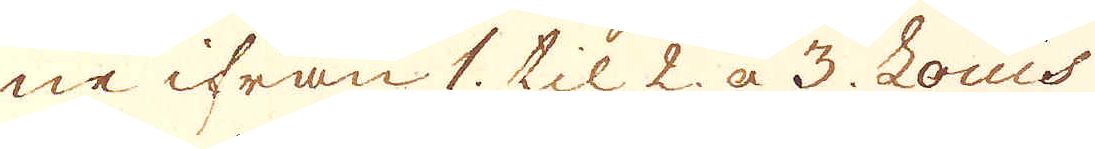ne ifrån 1. til 2. à 3. Louis
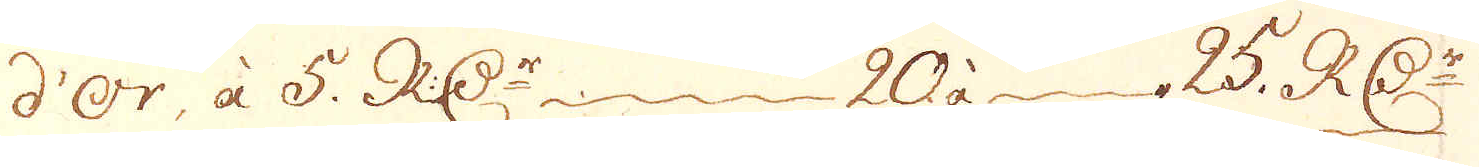d'Or, à 5. R:Dr 20 à 25. R:Dr
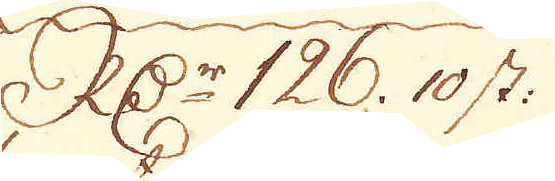R:Dr 126. 10 st:
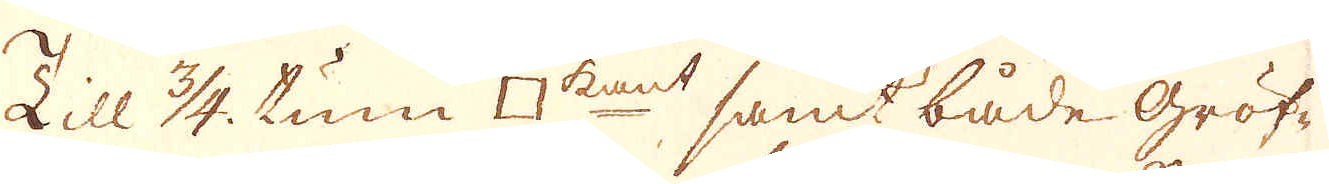Till 3/4. tum □kant samt både Gröf-
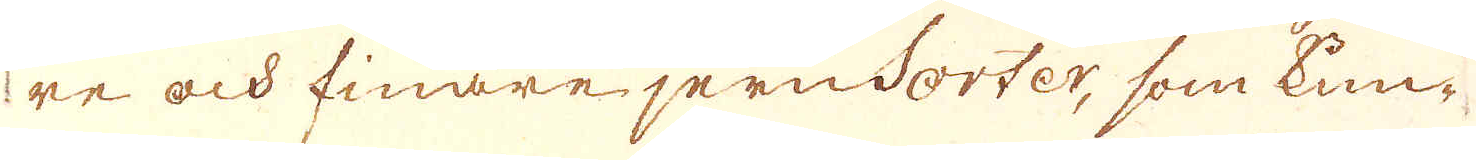re och finare jernSorter, som kun-
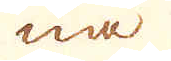na
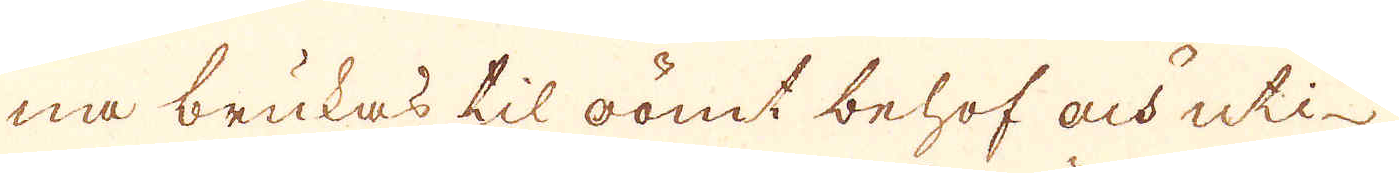na brukas til oömt behof och uti
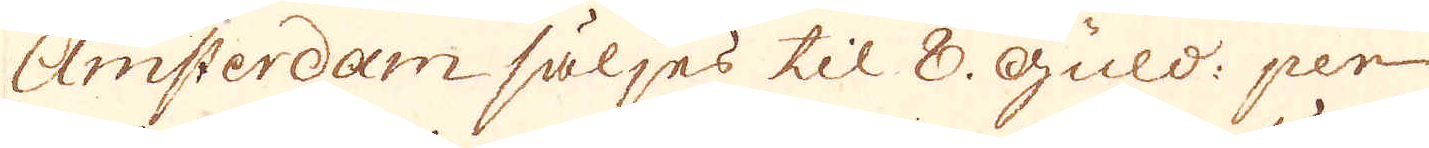Amsterdam säljes til 8. Guld: per
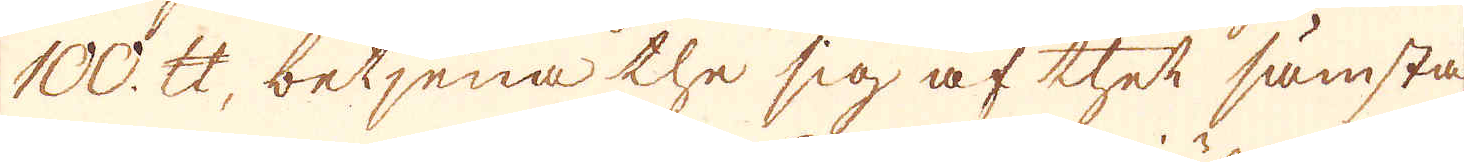100. skålpund, betjena the sig af thet sämsta
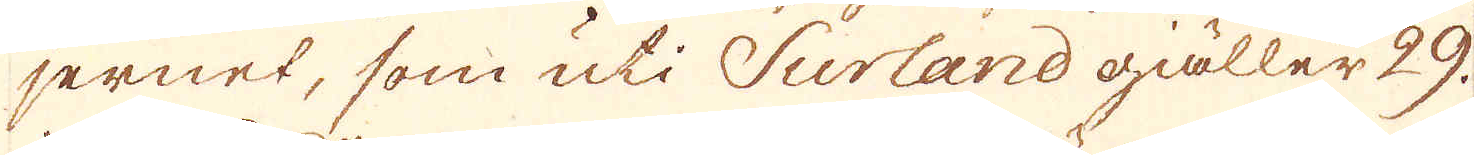jernet, som uti Surland giäller 29.
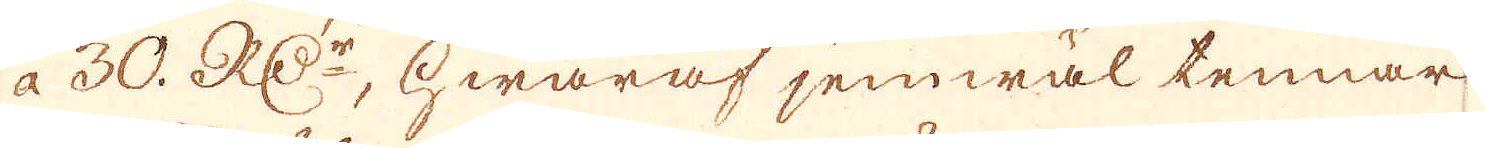à 30. R:Dr, Hwaraf jemwäl tennar
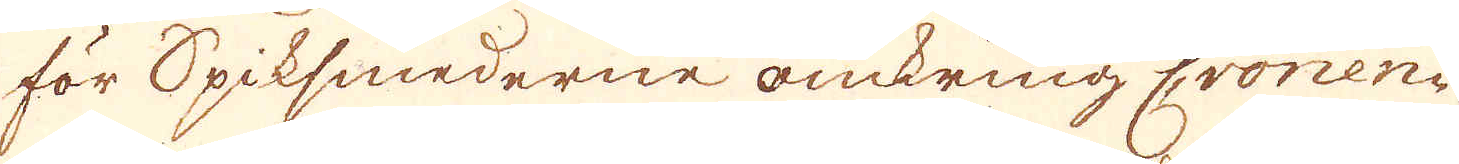för Spiksmederne omkring Cronen-
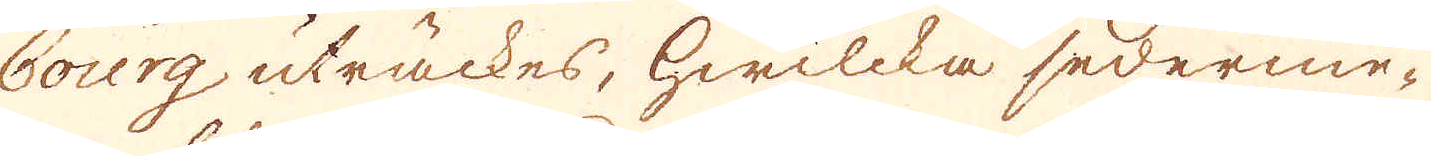bourg uträckes, hwilcka sederme-
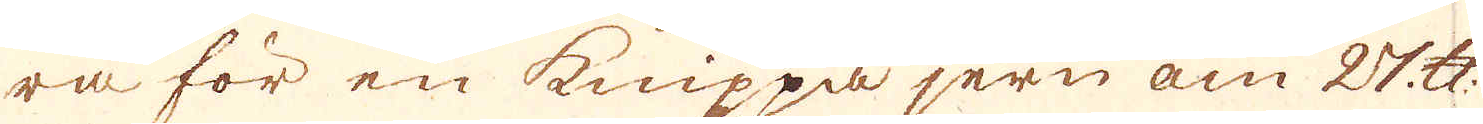ra för en knippa jern om 27 skålpund
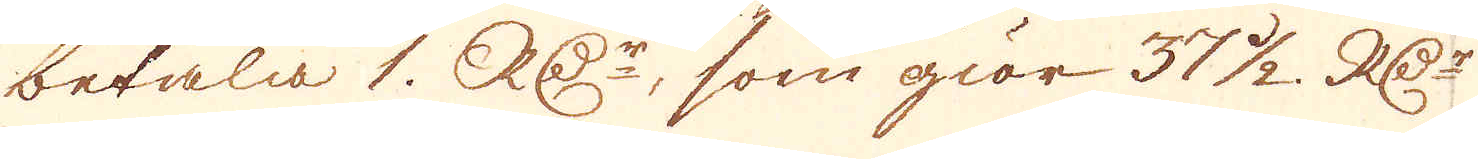betala 1. R:Dr, som giör 37 1/2. R:Dr
